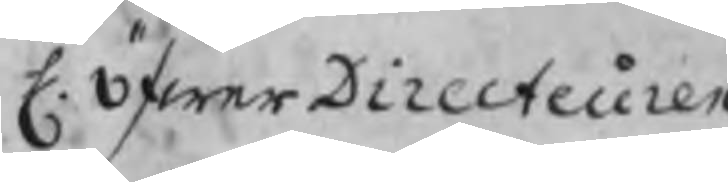H. öfwerDirecteuren
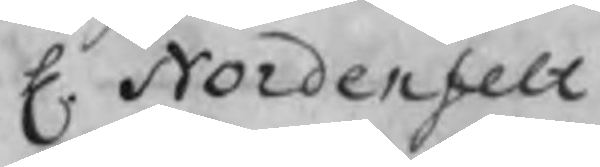H. Nordenfelt
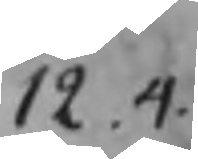12.4
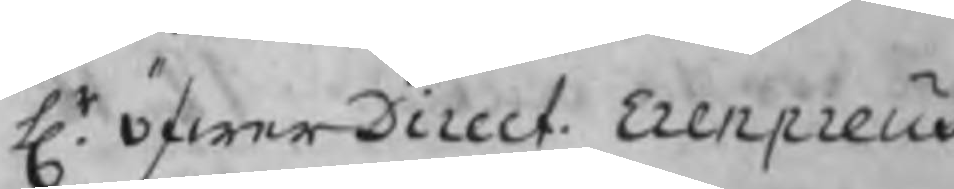Hr. öfwerDirect.  Erenpreus
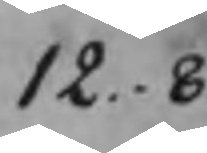12.8
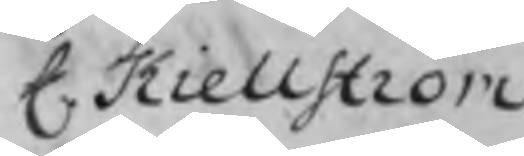H. Kiellström
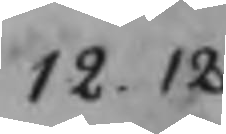12.12
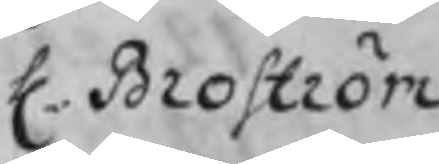H. Broström
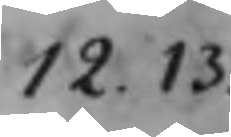12.13
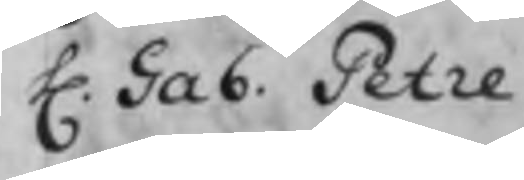H. Gab. Petre
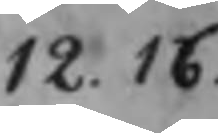12.16
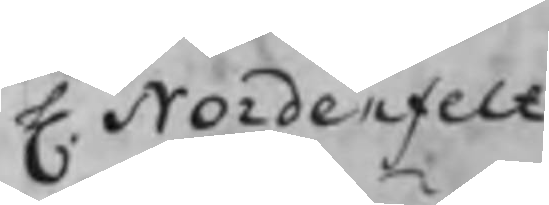H. Nordenfelt
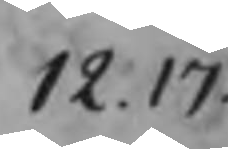12.17
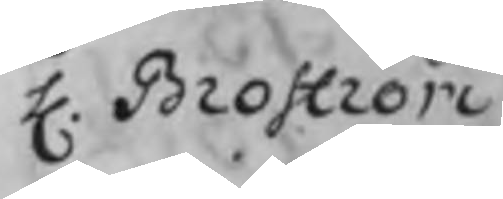H. Broström
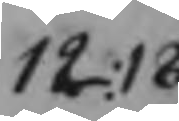12.18
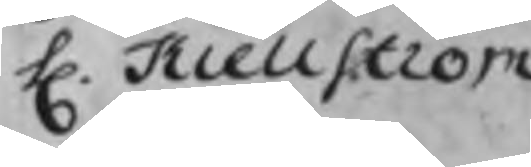H. Kiellström
